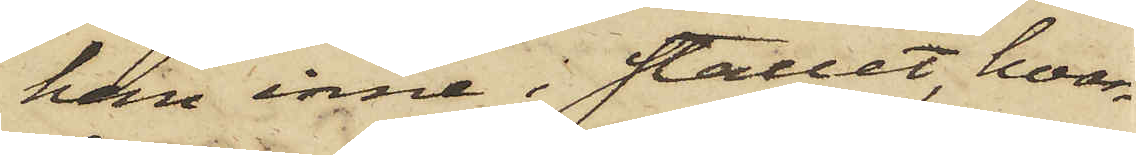hem inne i stallet, hvar¬
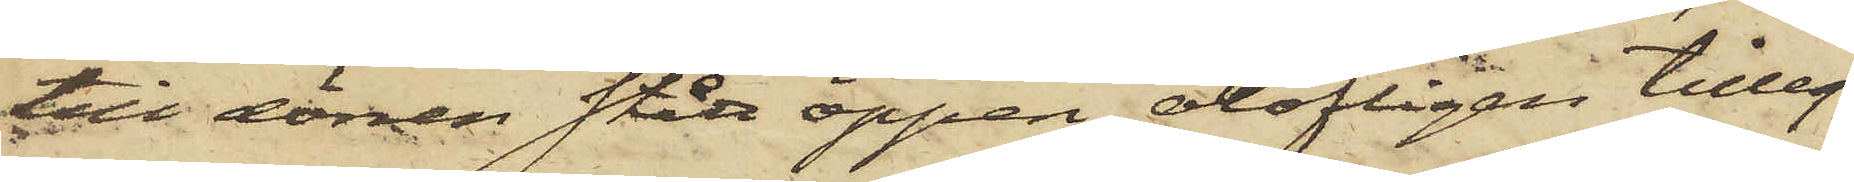till dörren stått öppen, olofligen tilleg¬
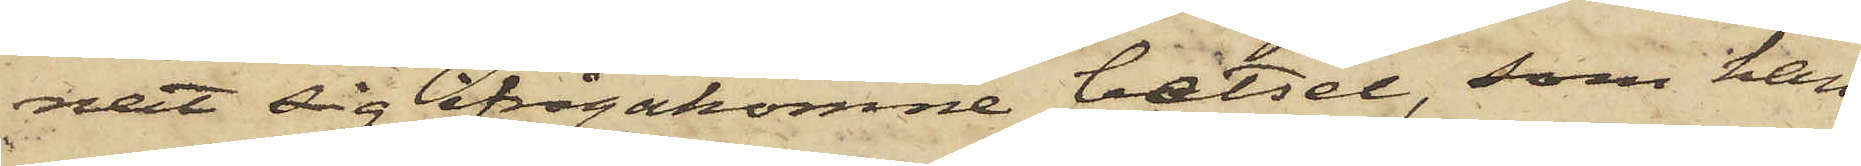nat sig ifrågakomne betsel, som han
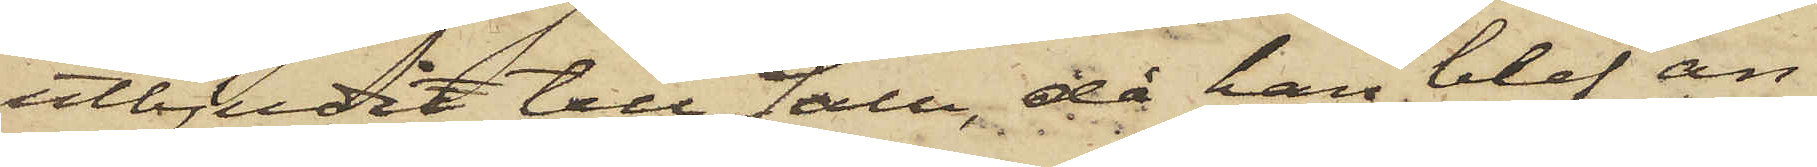utbjudit till Salu, då han blef an¬
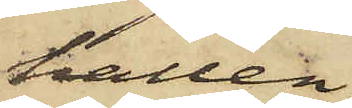hållen.
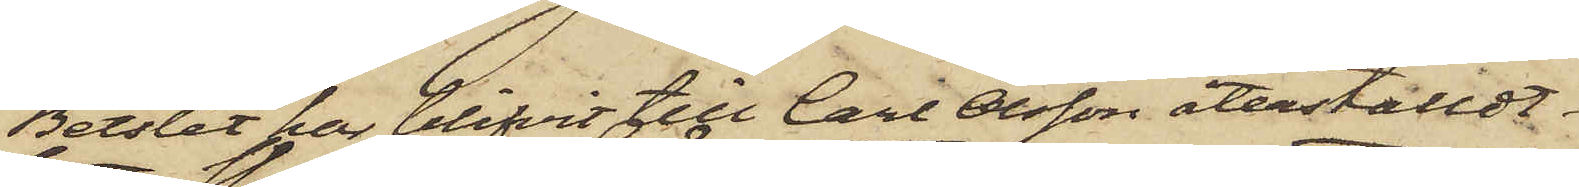Betslet har blifvit till Carl Olsson återställdt.
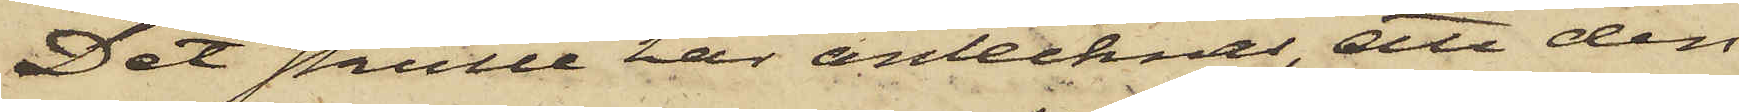Det skulle här antecknas, att den
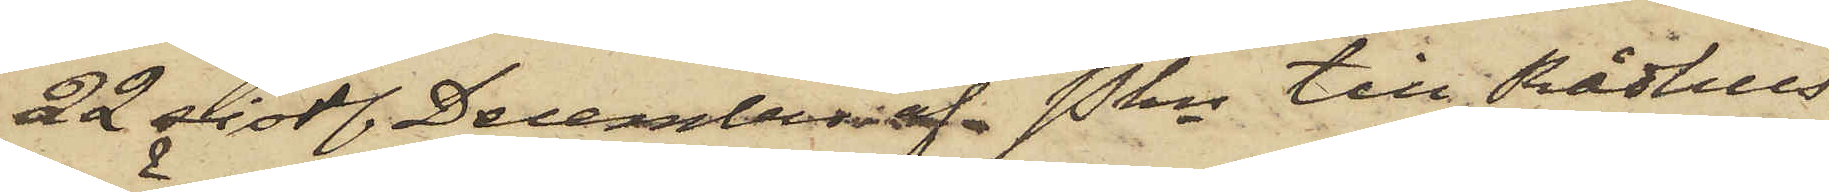22 sistl. December af Pkn till Rådhus¬
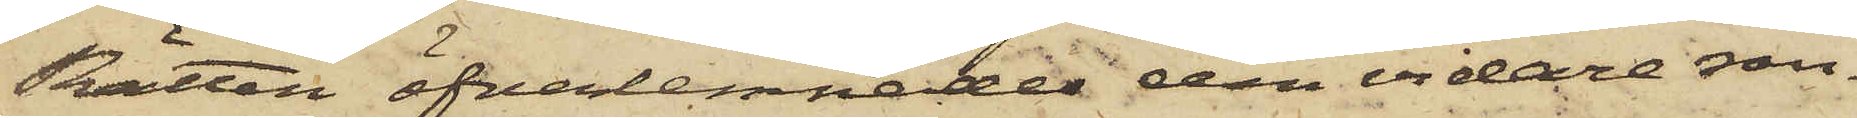Rätten öfverlemnades den vidare ran¬
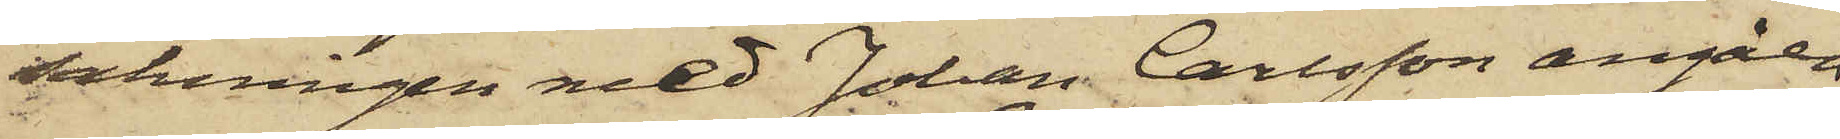sakningen med Johan Carlsson angåen¬
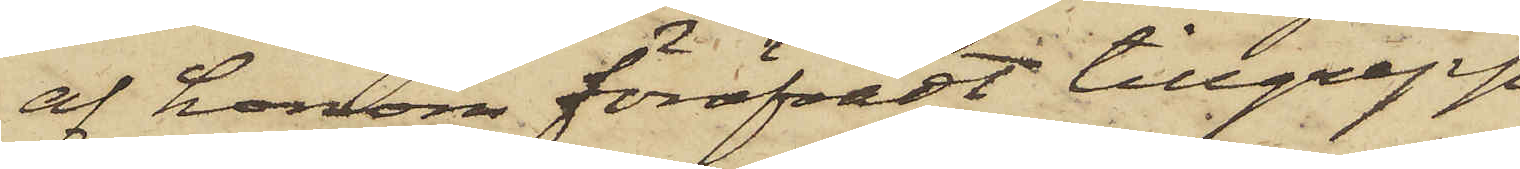af honom föröfvadt tillgrepp
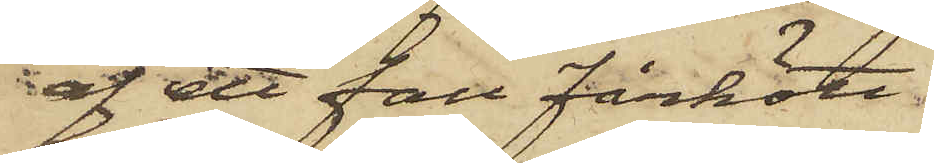af ett fall Fårkött.
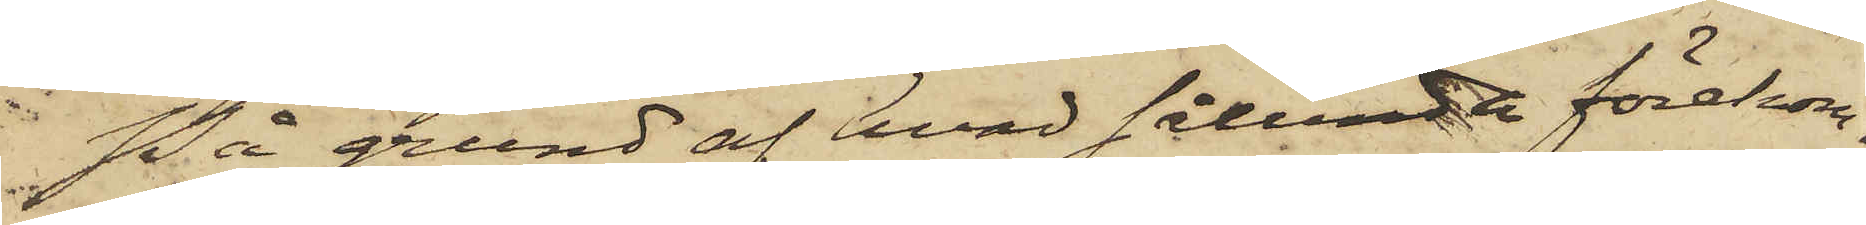På grund af hvad sålunda förekom¬
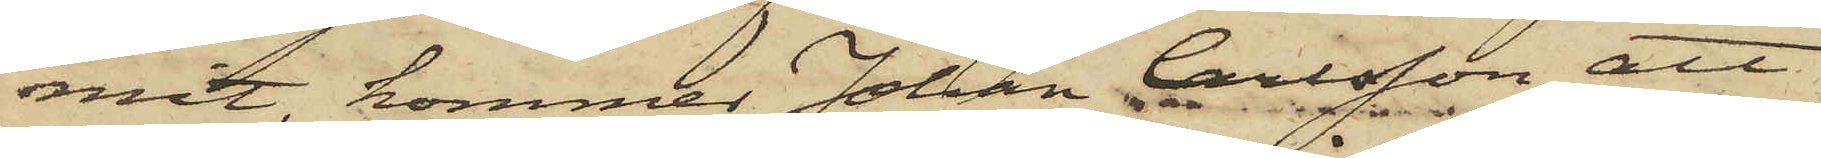mit, kommer Johan Carlsson att
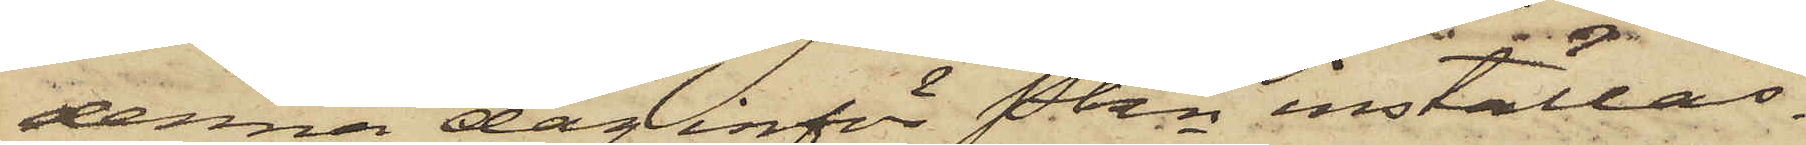denna dag inför Pkn inställas.
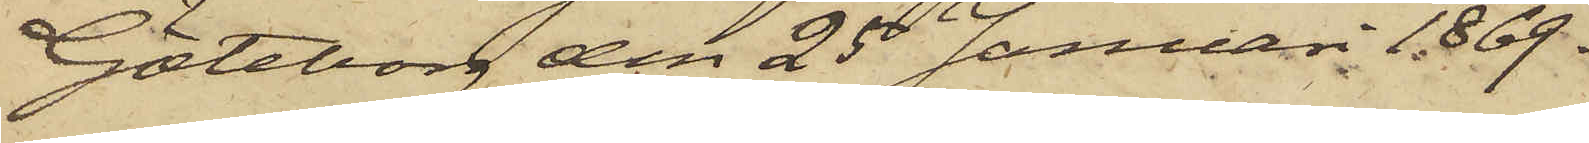Göteborg den 25 Januari 1869.
